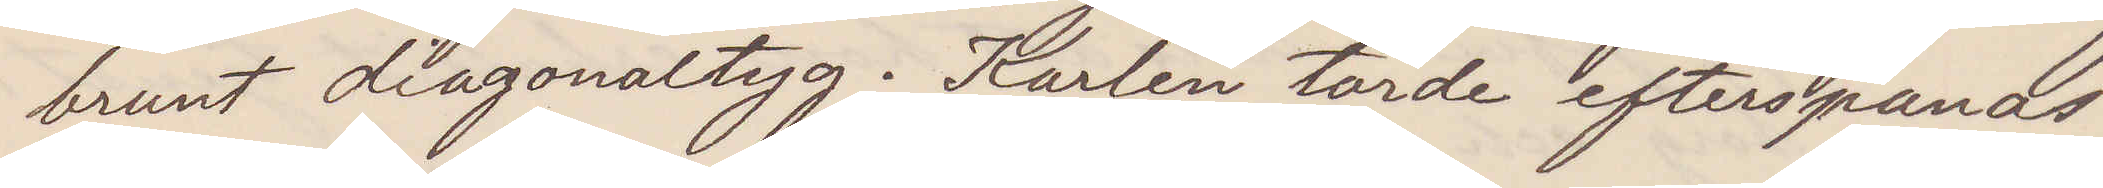brunt diagonaltyg. Karlen torde efterspanas
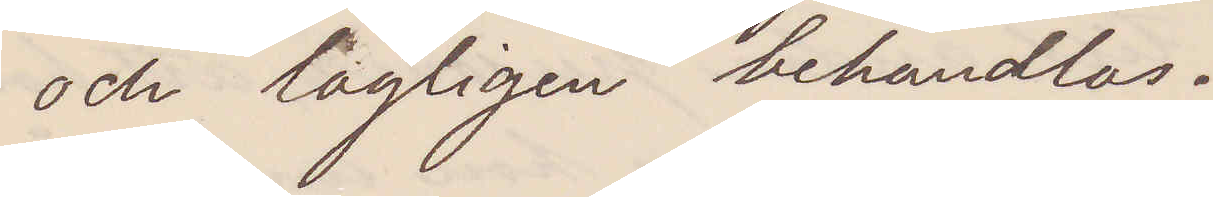och lagligen behandlas.
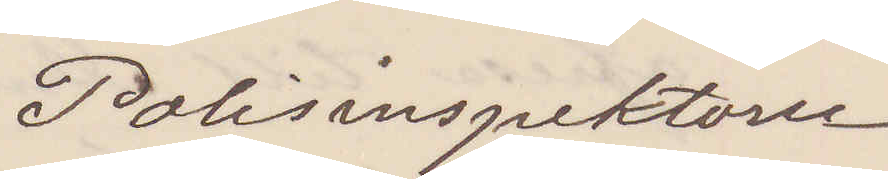Polisinspektorn
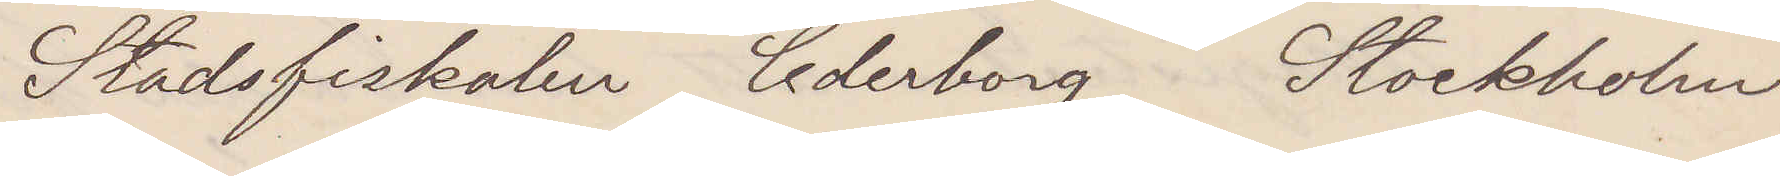Stadsfiskalen Cederborg Stockholm
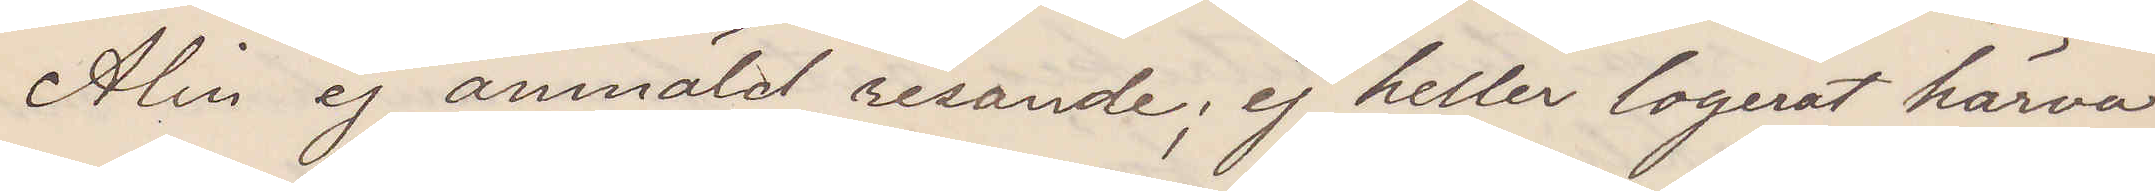Alin ej anmäld resande; ej heller logerat härva¬
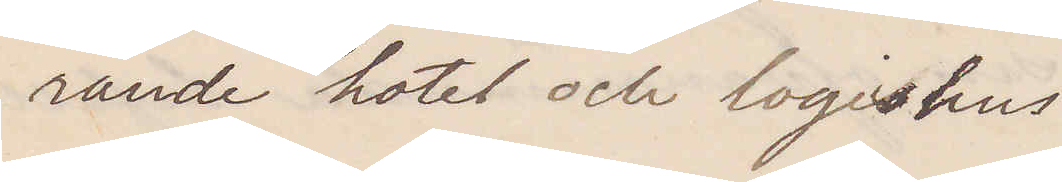rande hotel och logishus
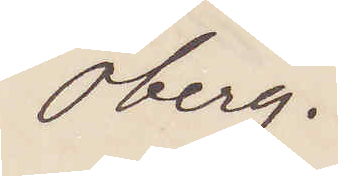Öberg
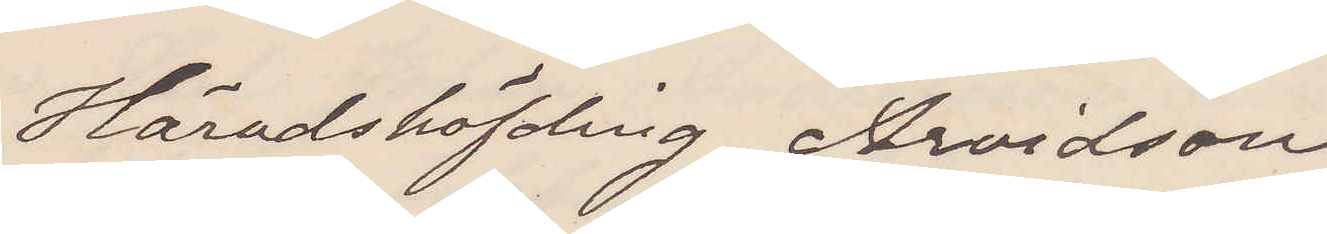Häradshöfvding Arvidson
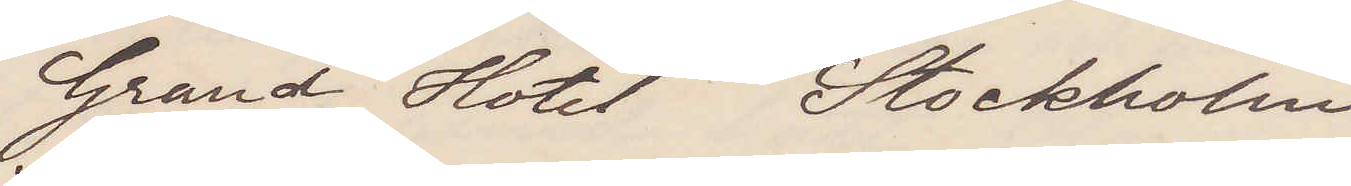Grand Hotel Stockholm
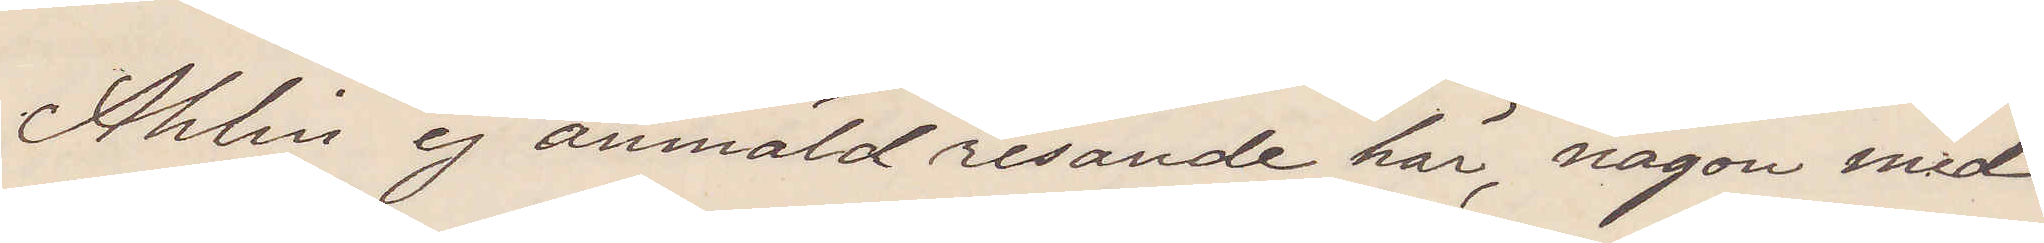Ahlin ej anmäld resande här, någon med
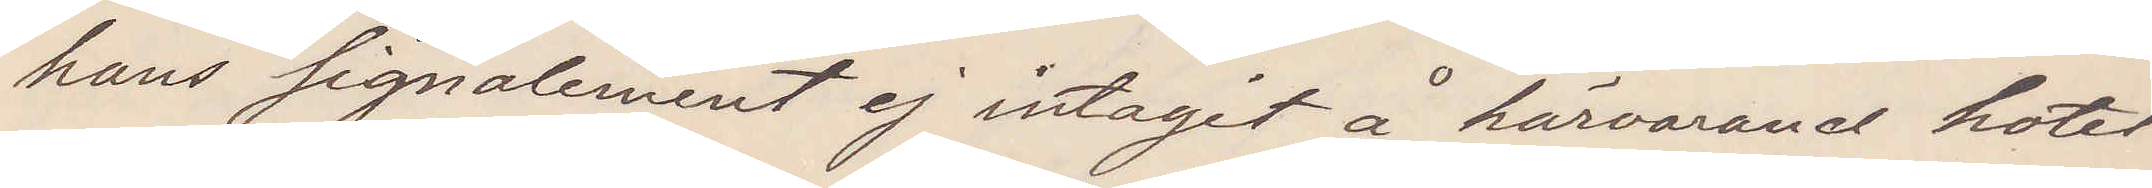hans signalement ej intagit å härvarande hotel
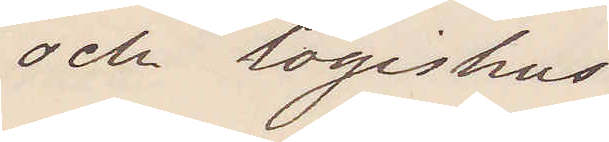och logishus
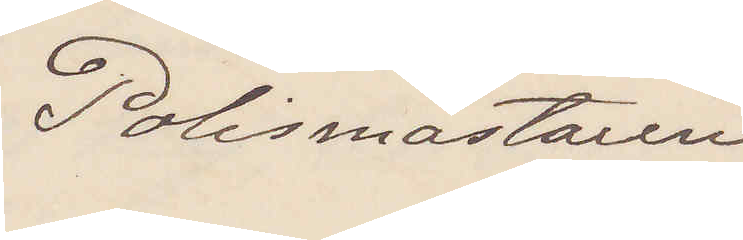Polismästaren
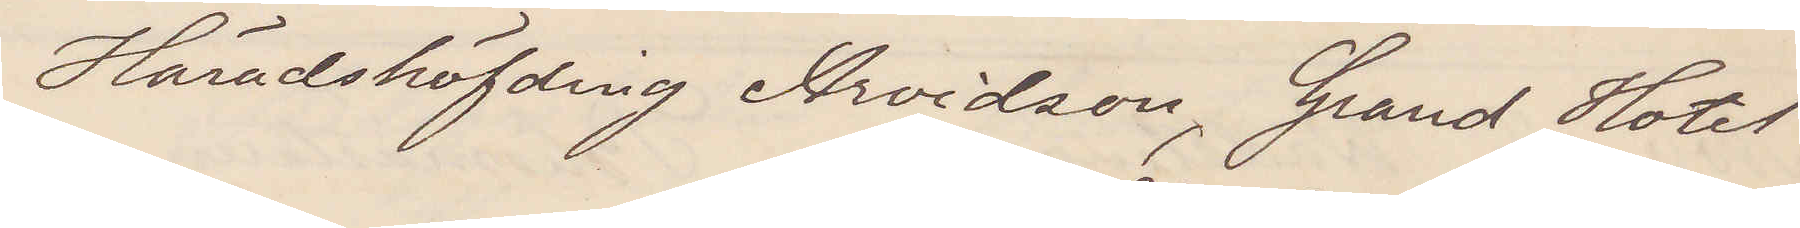Häradshöfvding Arvidson, Grand Hotel
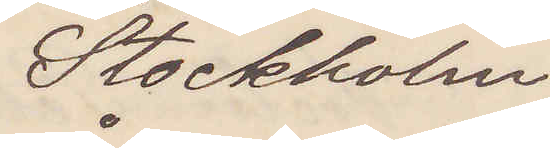Stockholm
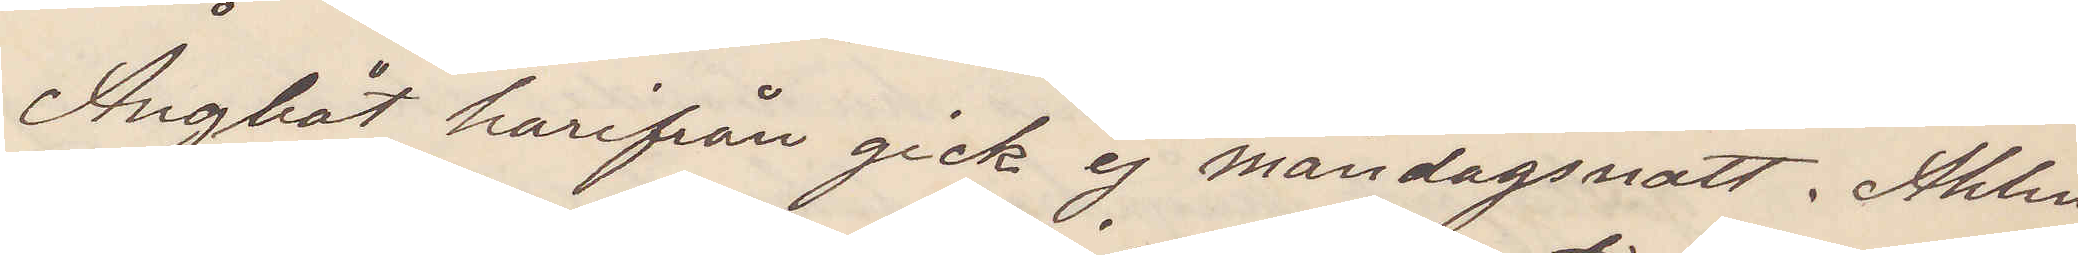Ångbåt harifrån gick ej måndagsnatt. Ahlin
